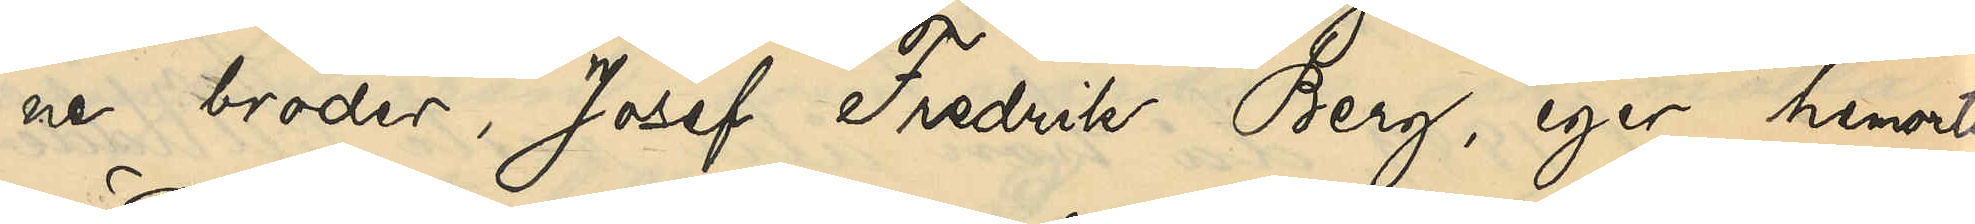ne broder, Josef Fredrik Berg, eger hemorts¬
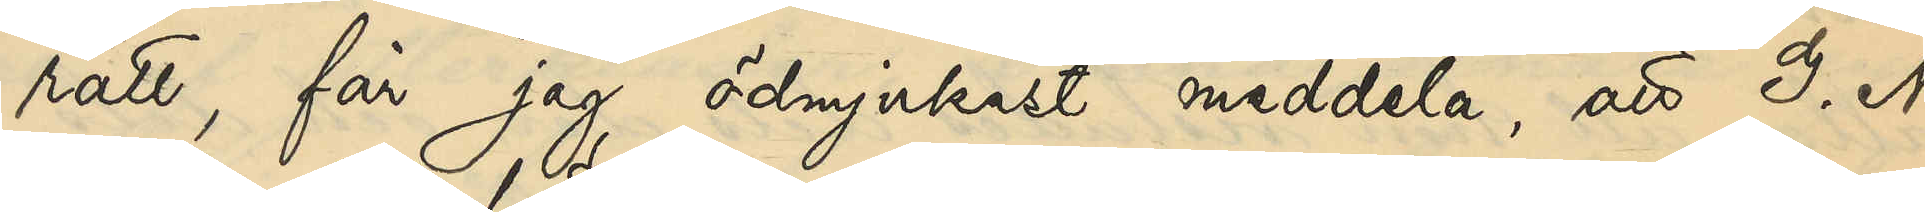rätt, får jag ödmjukast meddela, att G.N.
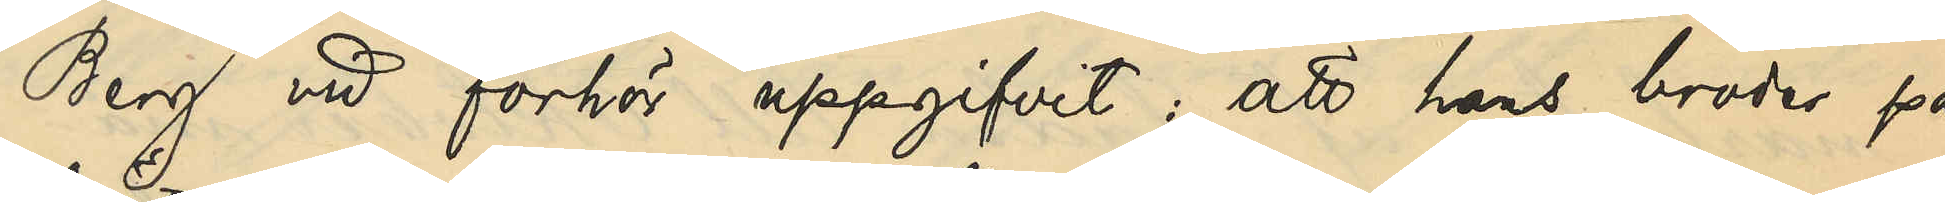Berg vid förhör uppgifvit, att hans broder på
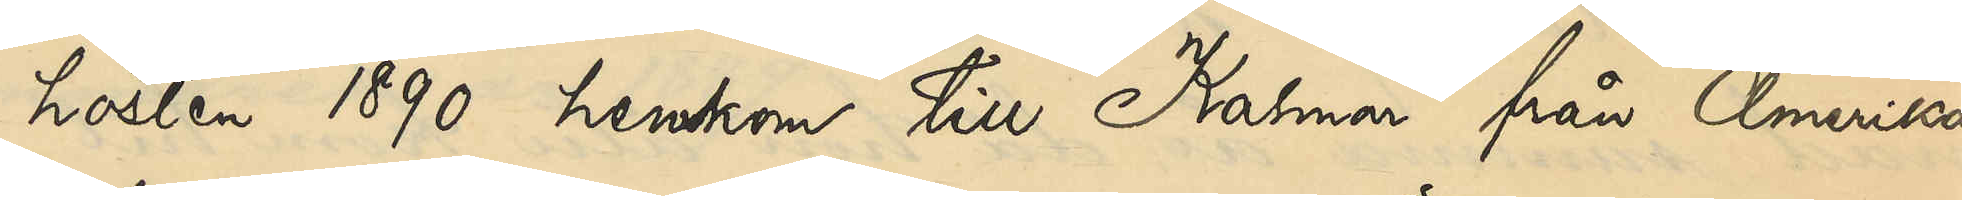hösten 1890 hemkom till Kalmar från Amerika
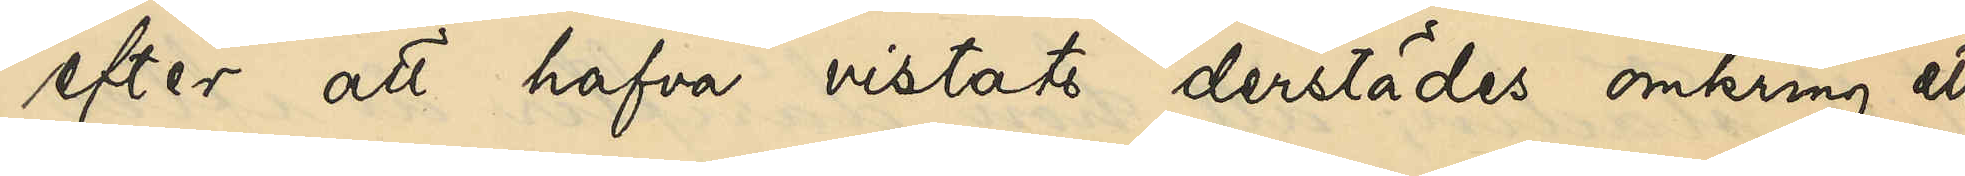efter att hafva vistats derstädes omkting ett
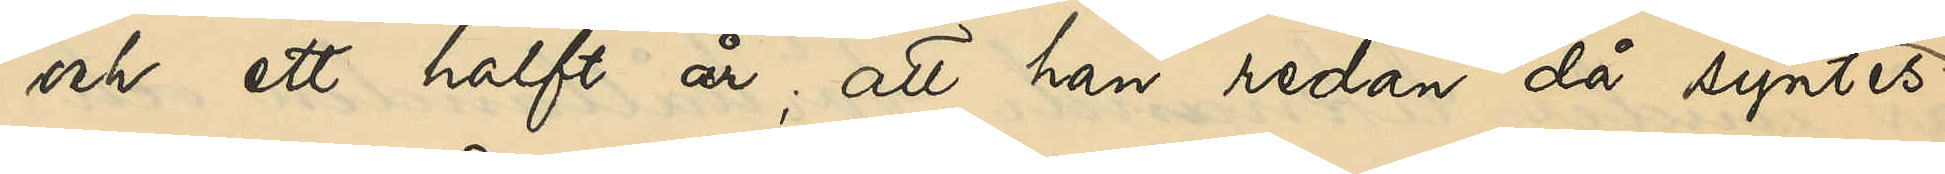och ett halft år; att han redan då syntes
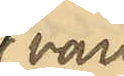vara
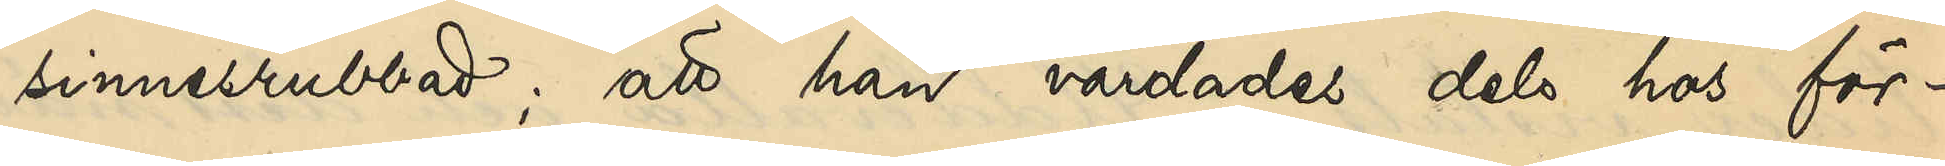sinnesrubbad; att han vårdades dels hos för¬
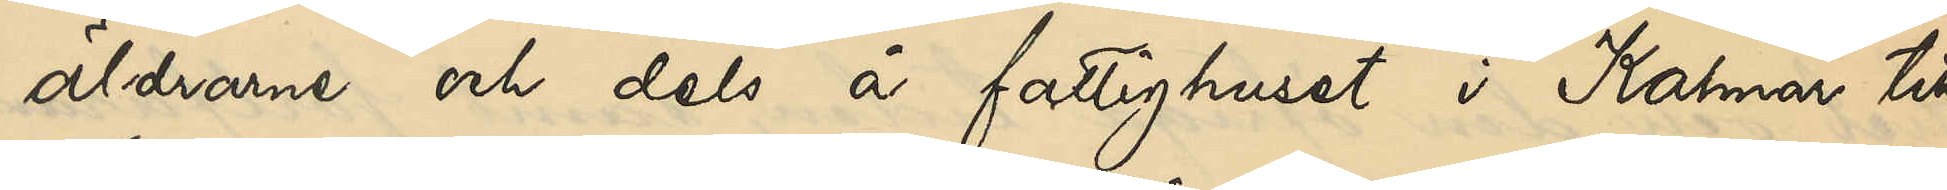äldrarne och dels å fattighuset i Kalmar till
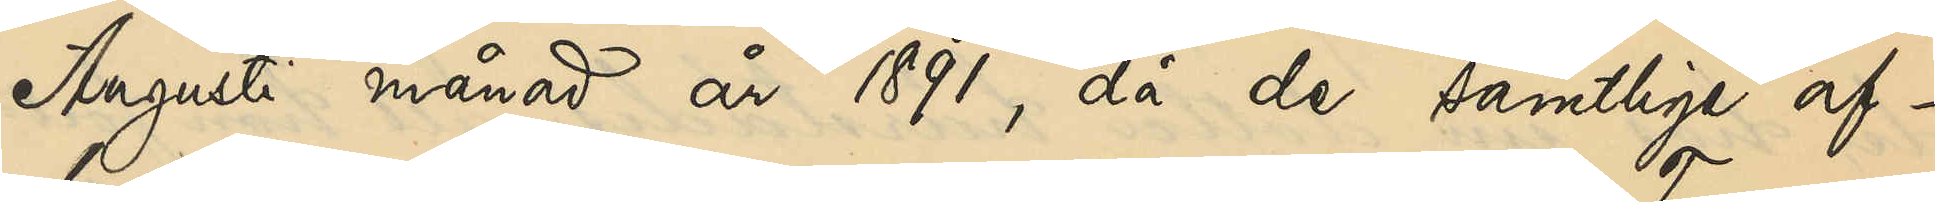Augusti månad år 1891, då de samtlige af¬
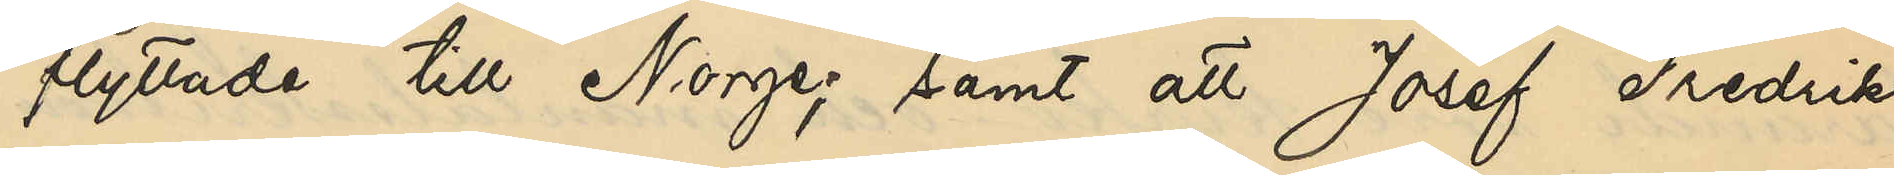flyttade till Norge; samt att Josef Fredrik,
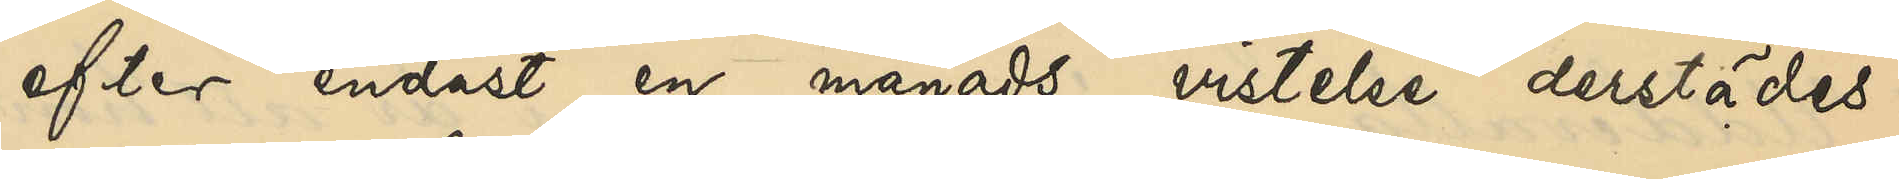efter endast en månads vistelse derstädes,
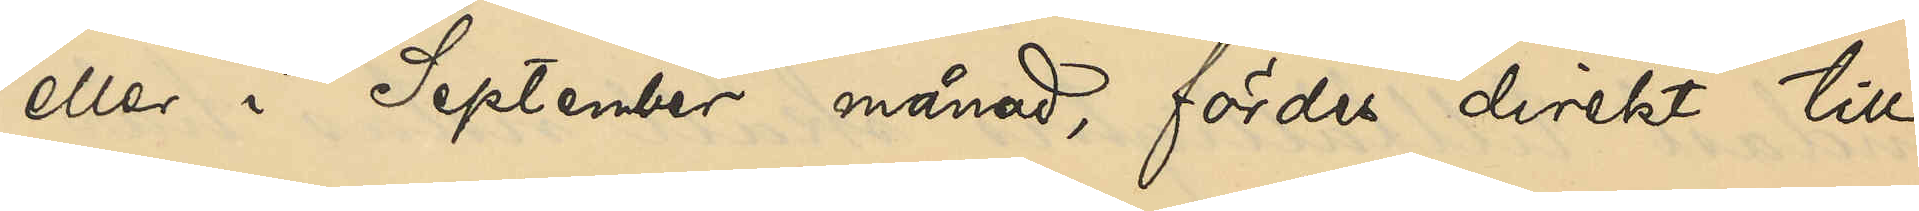eller i September månad, fördes direkt till
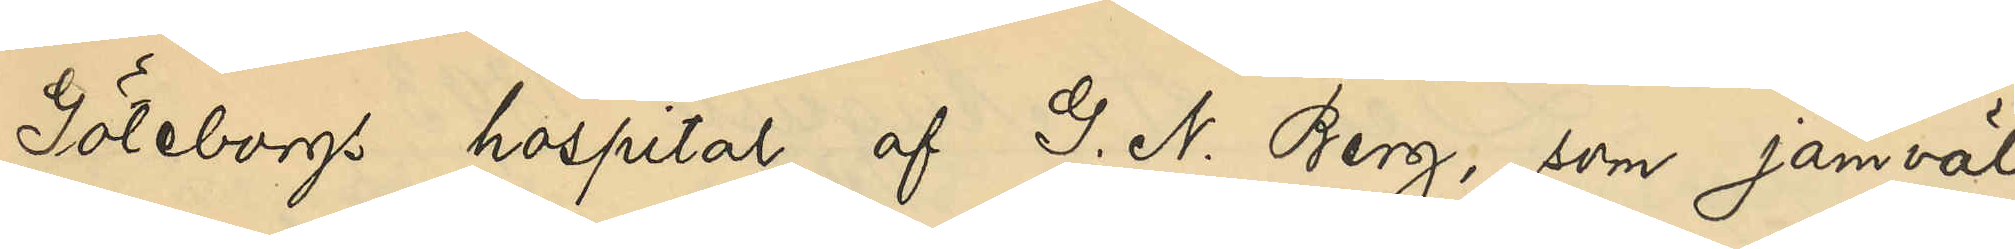Göteborgs hospital af G. N. Berg som jämväl
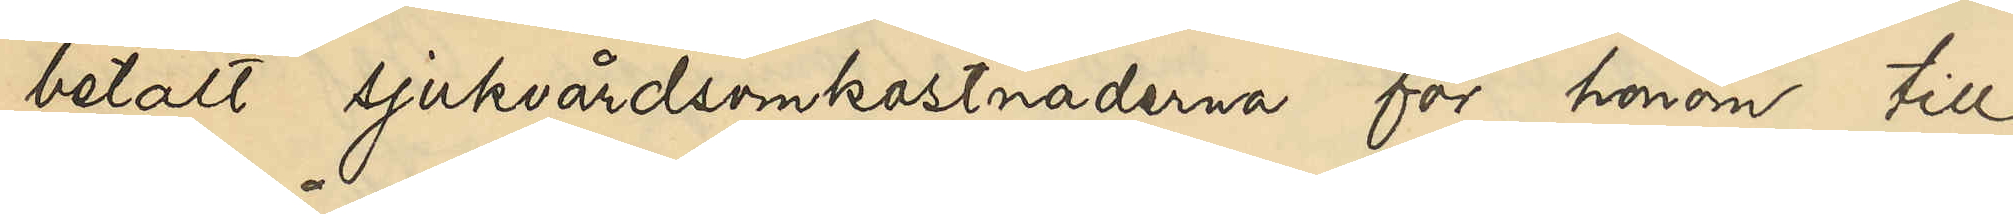betalt sjukvårdskostnaderna för honom till
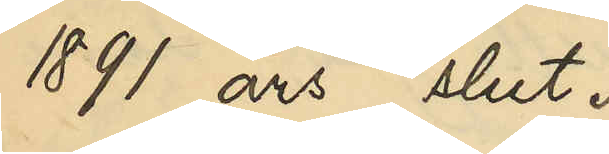1891 års slut.
